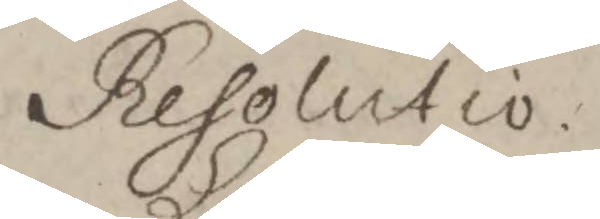Resolutio
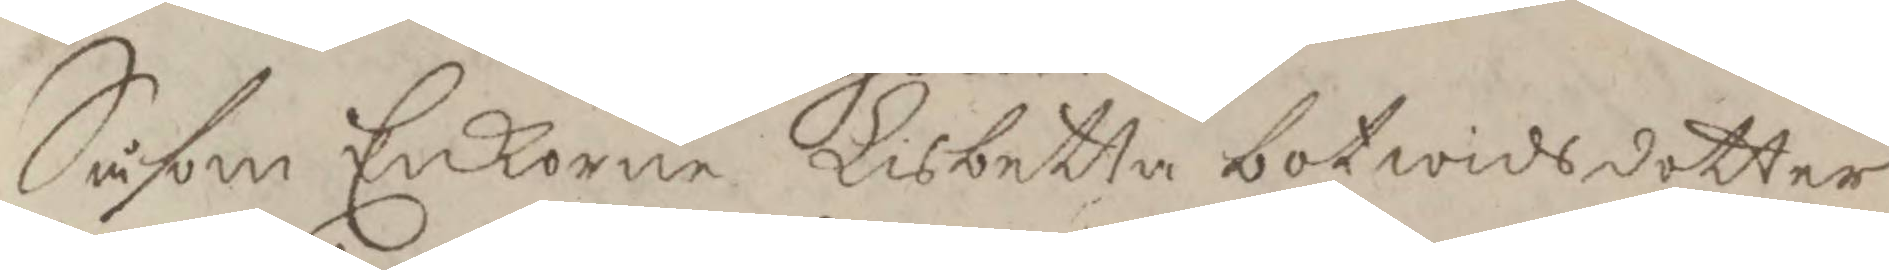Såsom Enkorne Lisbetta botwidsdotter
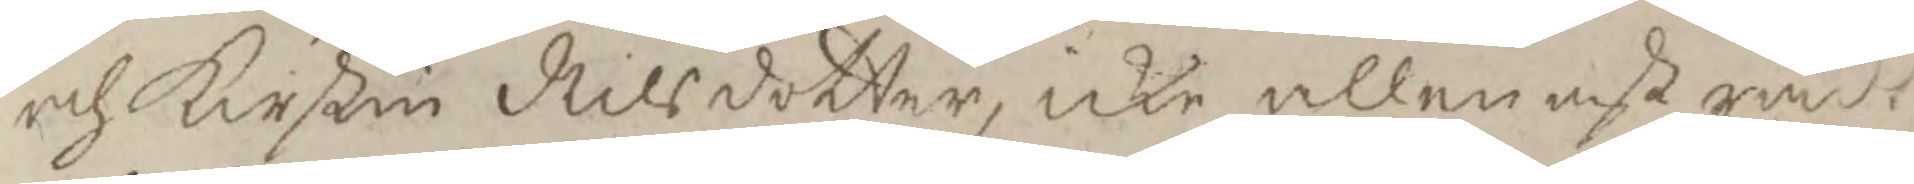och Kirstin Nilsdotter, icke allenast rådt
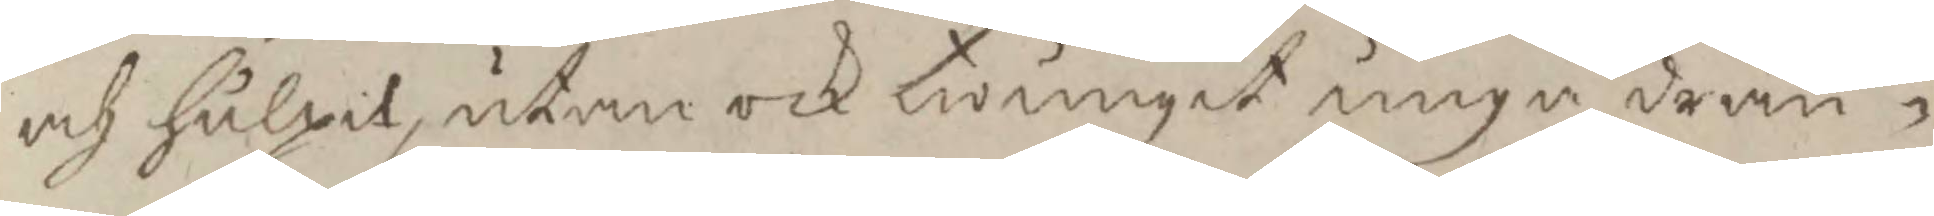och hulpit, utan och twungit unge drän¬
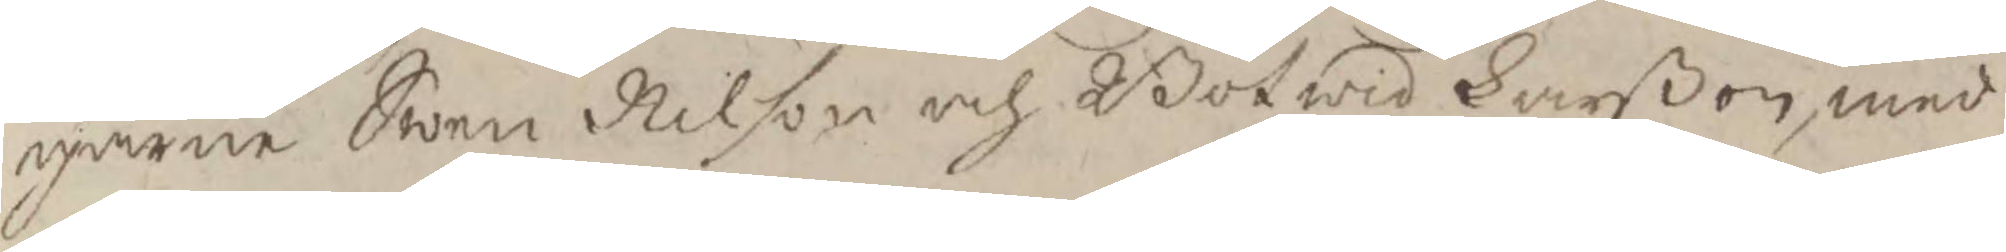garne Swen Nilson och Botwid Larßon, med
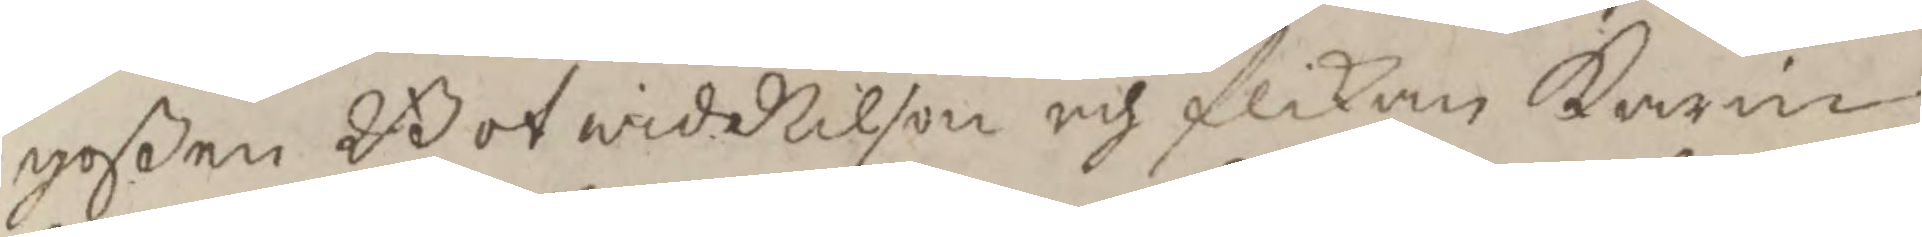goßen Botwid Nilson och flickan Karin
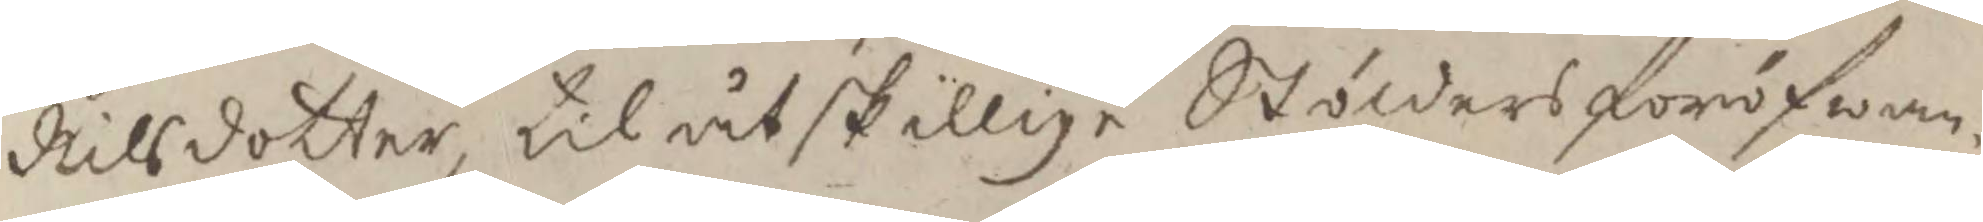Nilsdotter, till åtskillige Stölders föröfwan¬
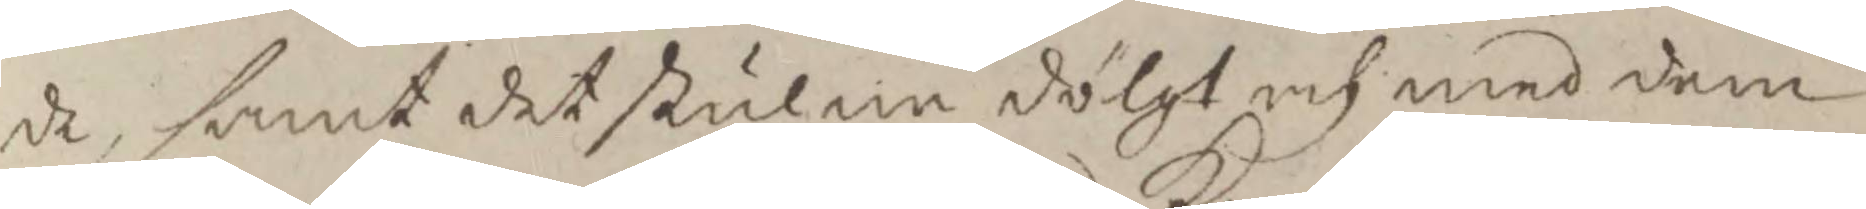de, samt det stulne sölgt och med dem
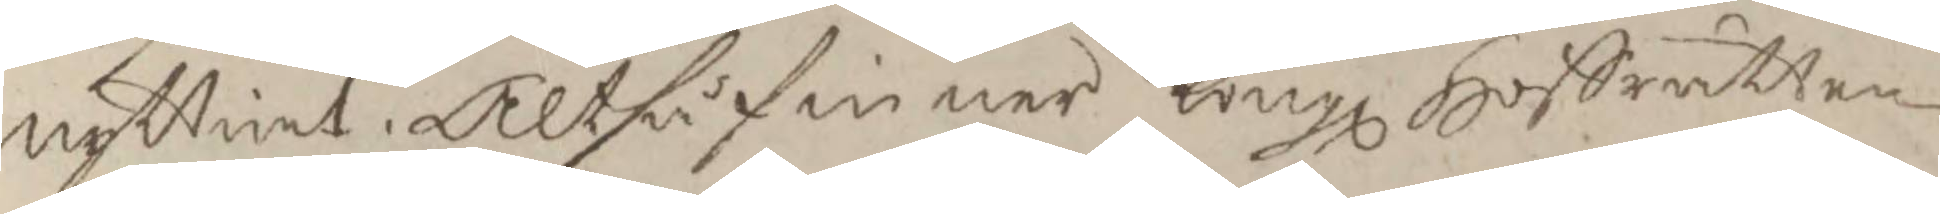nyttiat. Altså finner Kongl Hoffrätten
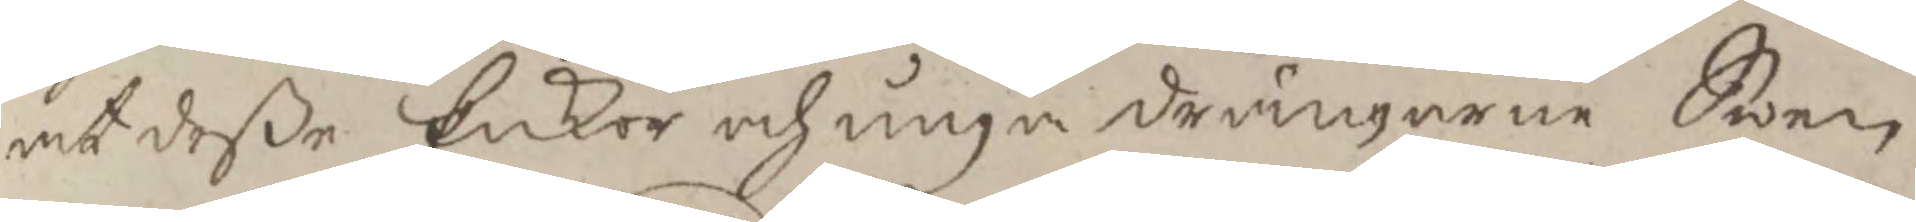at deße Enkor och unga drängarne Swen
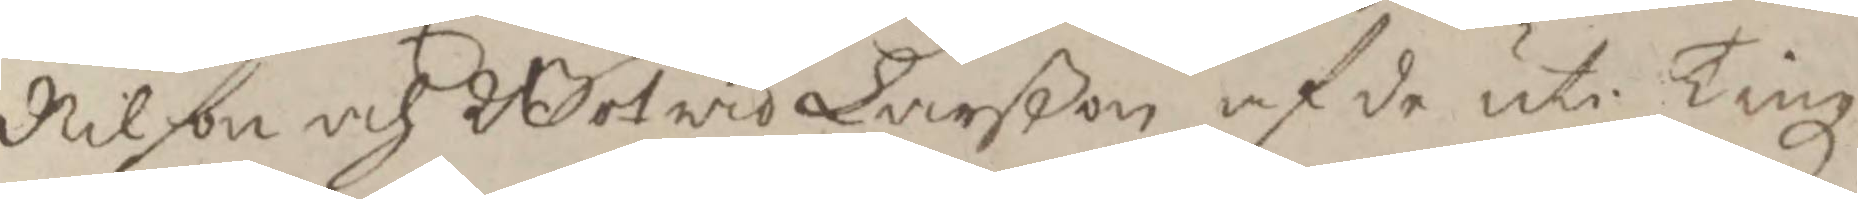Nilson och Botwid larßon af de uti Tingz¬
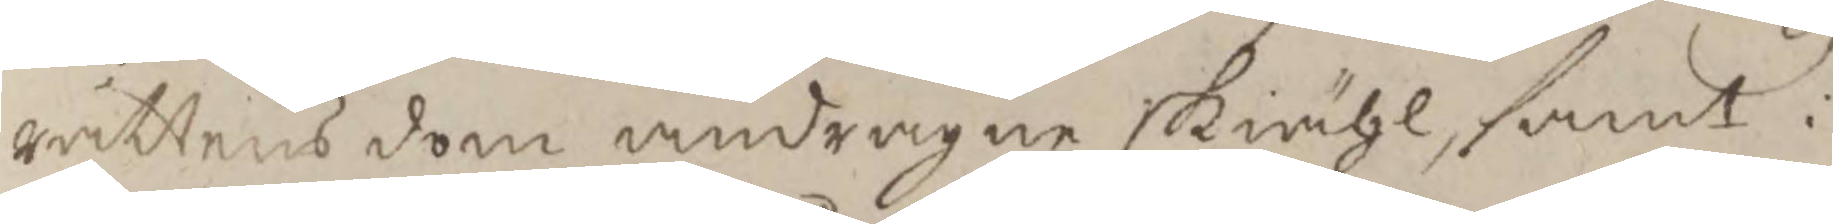rättens dom andragne skiähl, samt i
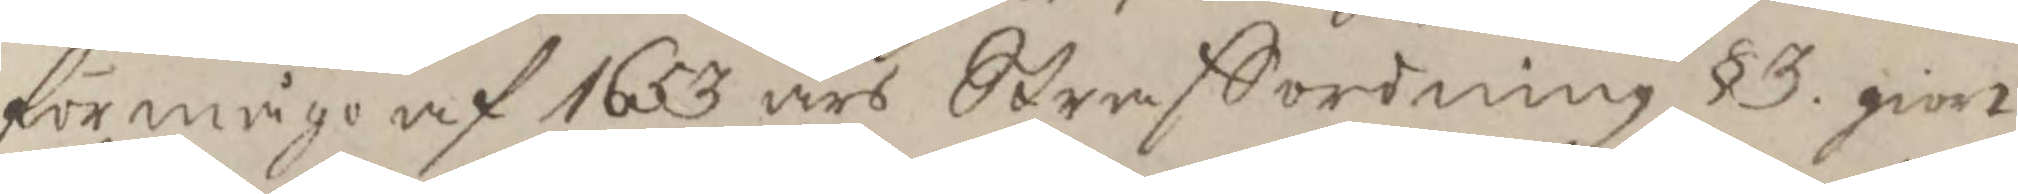förmågo af 1653 års Straffordning § 3 giort
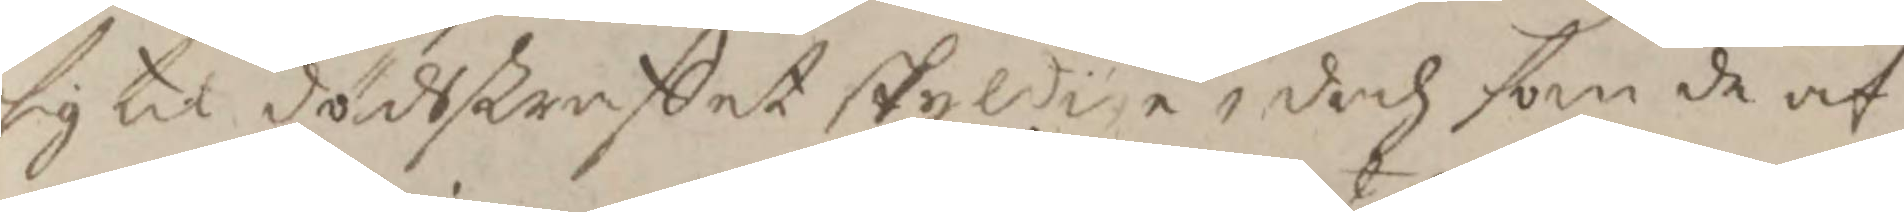sig til dödsstraffet skyldige, dock som de af
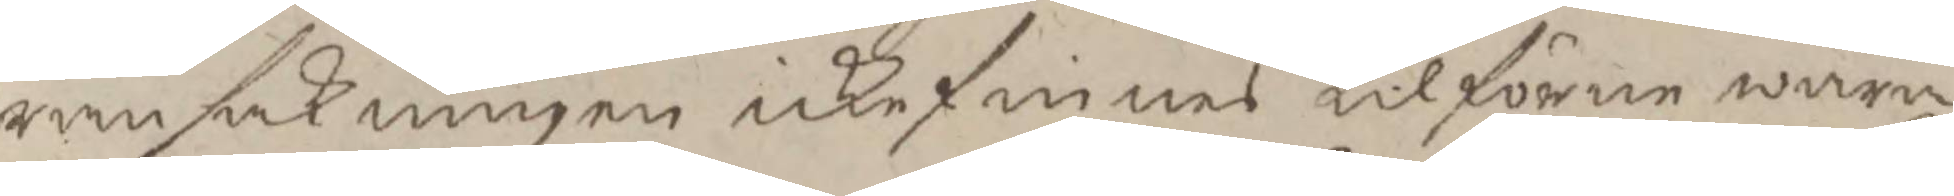ransakningen icke finnes tilförene wara
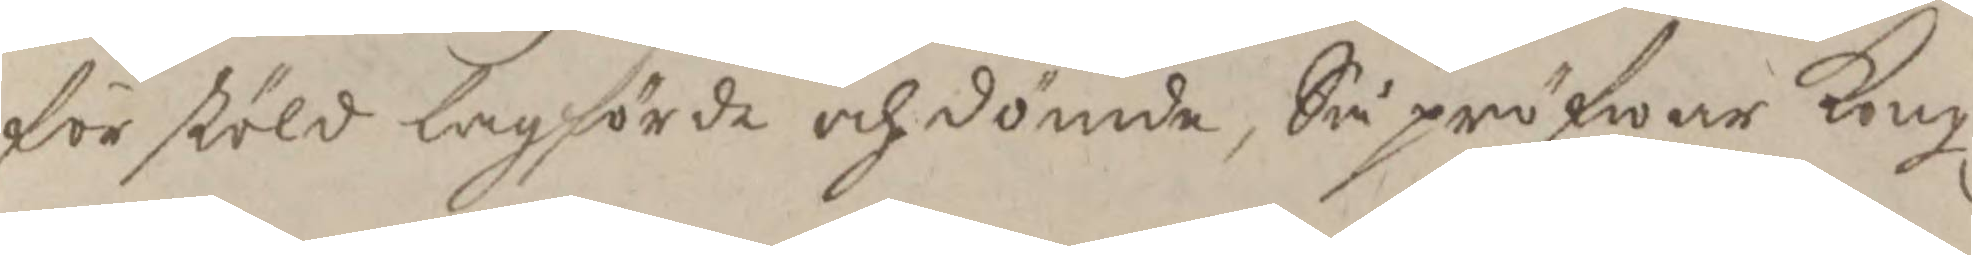för stöld lagförde och dömde, Så pröfwar Kongl
